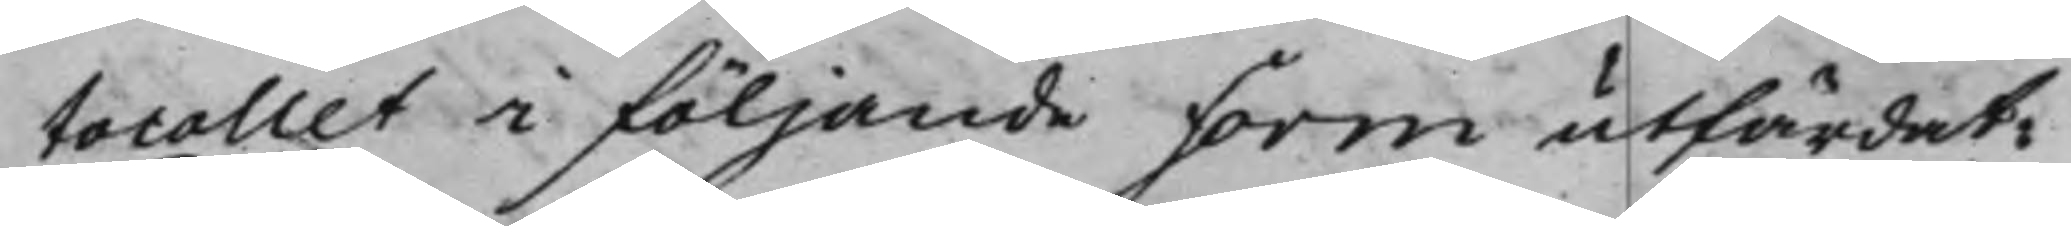tocollet i följande form utfärdat:
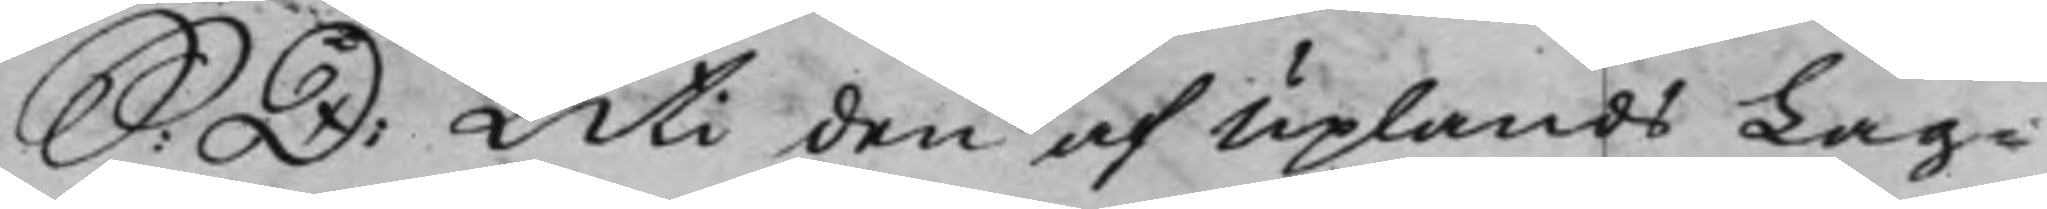S: D: Uti den af Uplands Lag¬
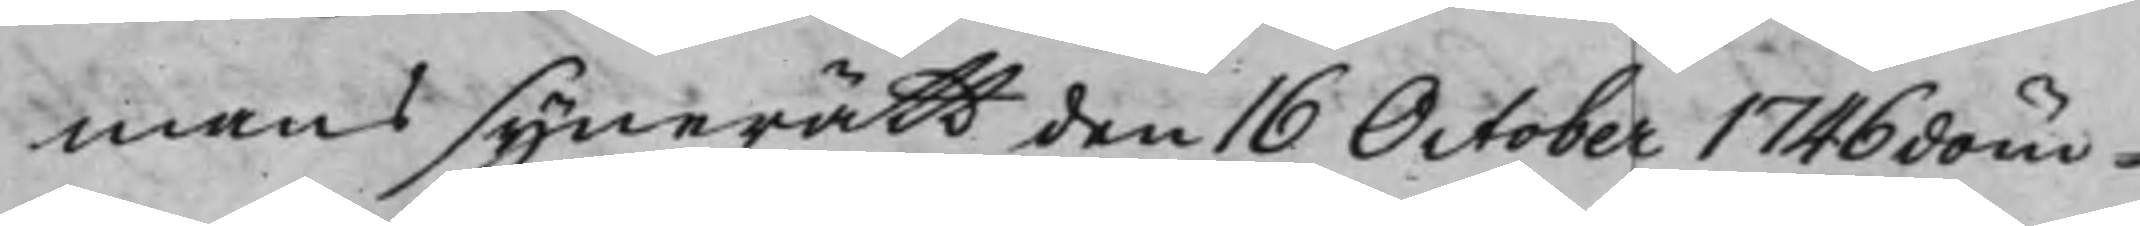mans synerätt den 16 October 1746 döm¬
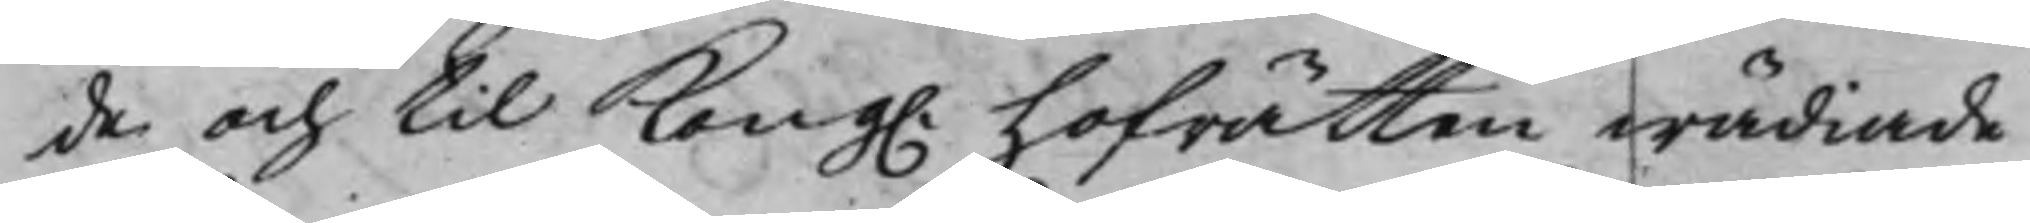de och til Kong. Hofrätten wädiade
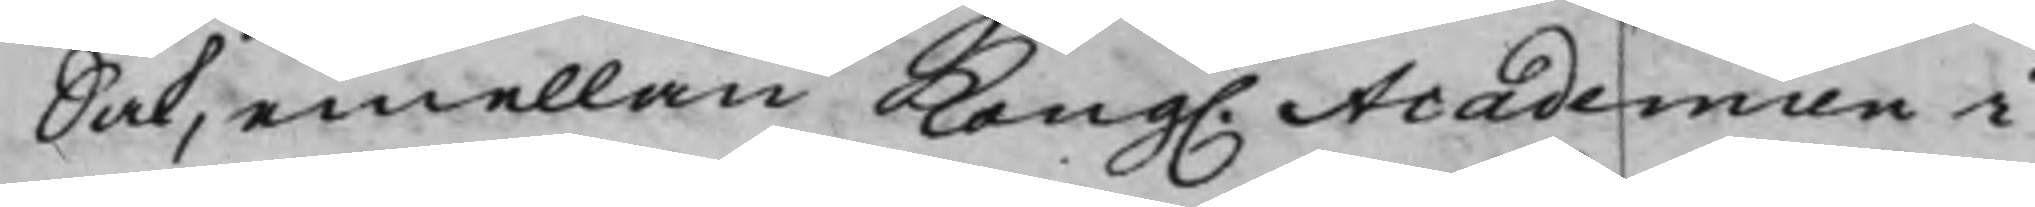Sak, emellan Kong. Academien i
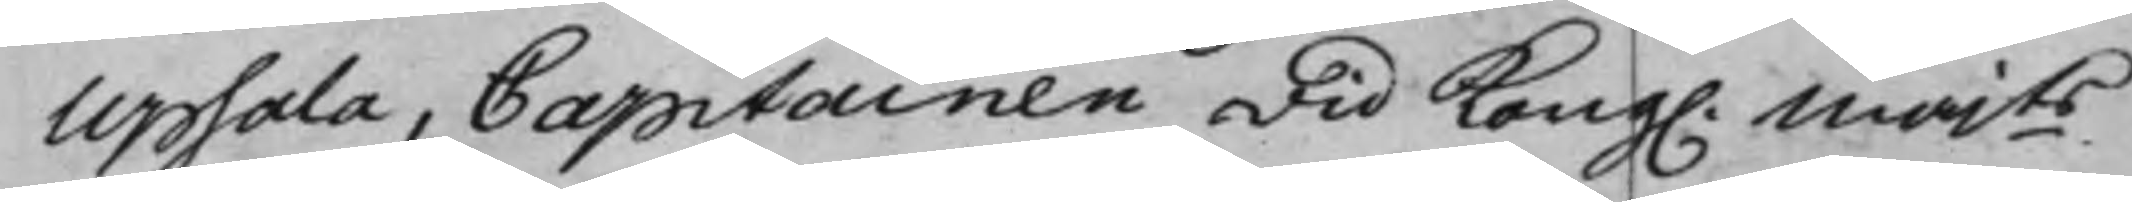Upsala, Capitainen wid Kong. Majts
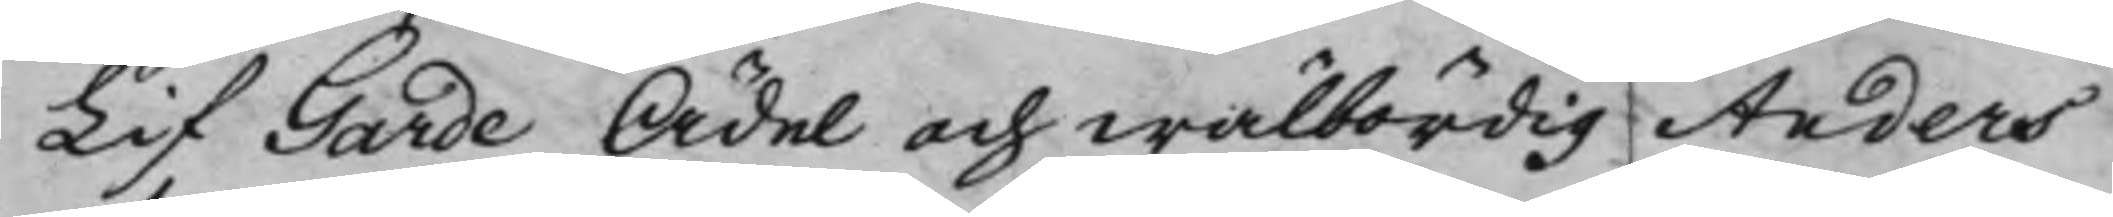Lif Garde Ädel och wälbördig Anders
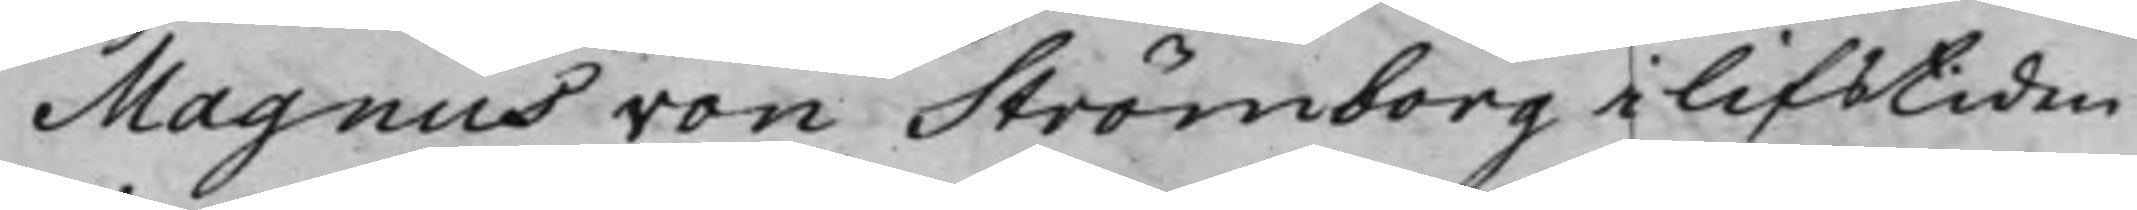Magnus von Strömborg i lifstiden
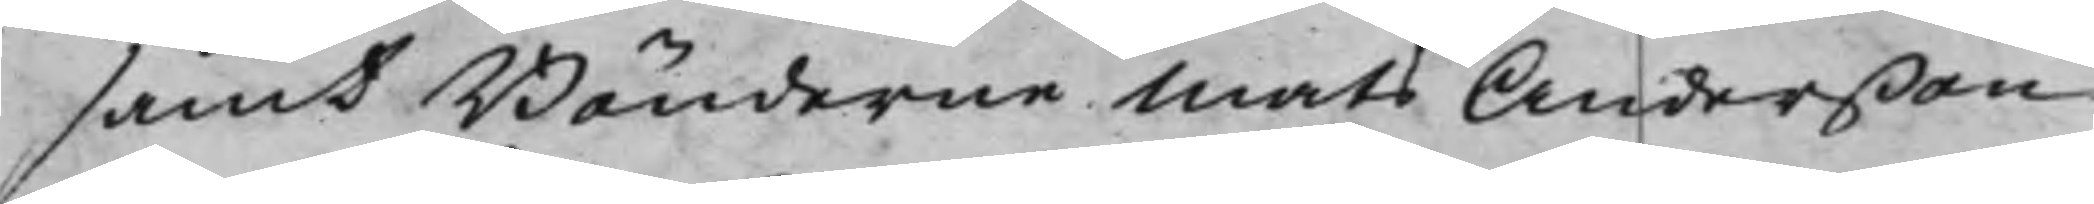samt Bönderne Mats Anderßon
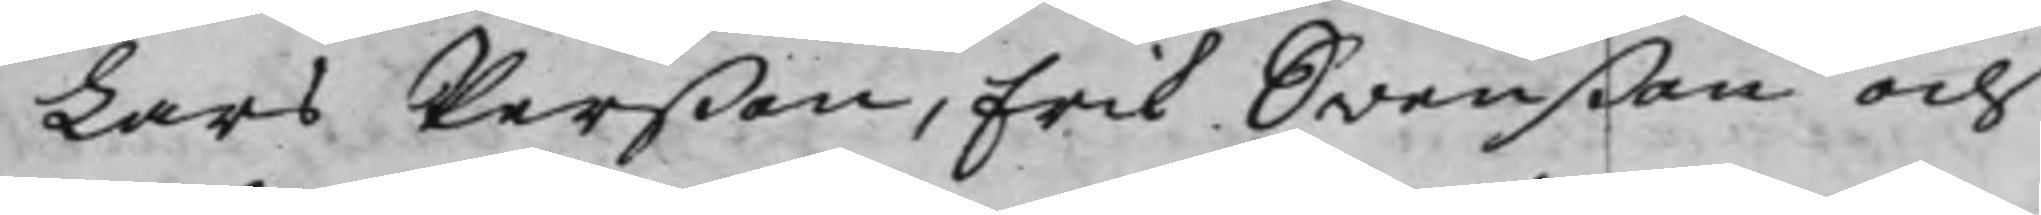Lars Perßon, Erik Swenßon och
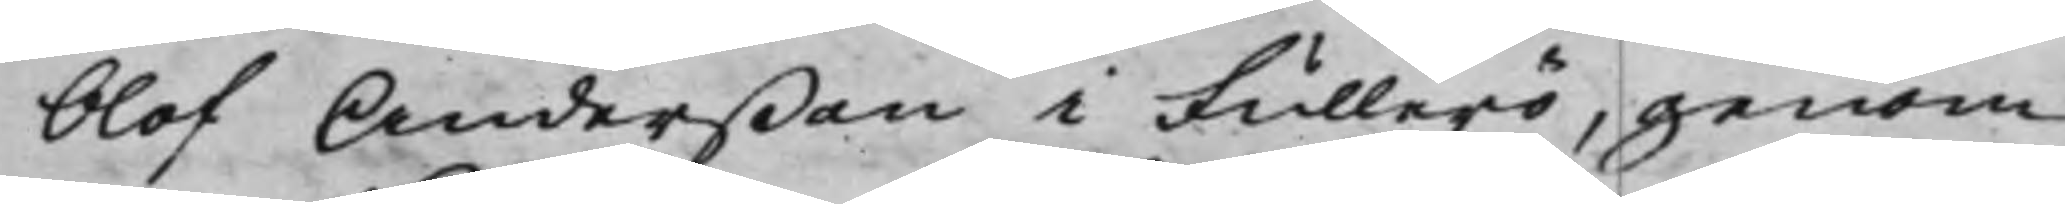Olof Anderßon i Fullerö, genom
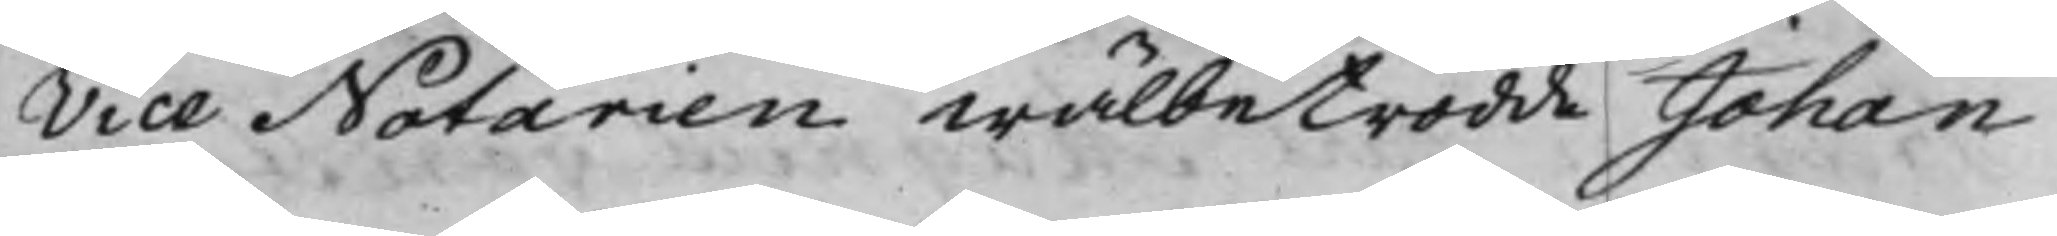Vice Notarien Wälbetrodde Johan
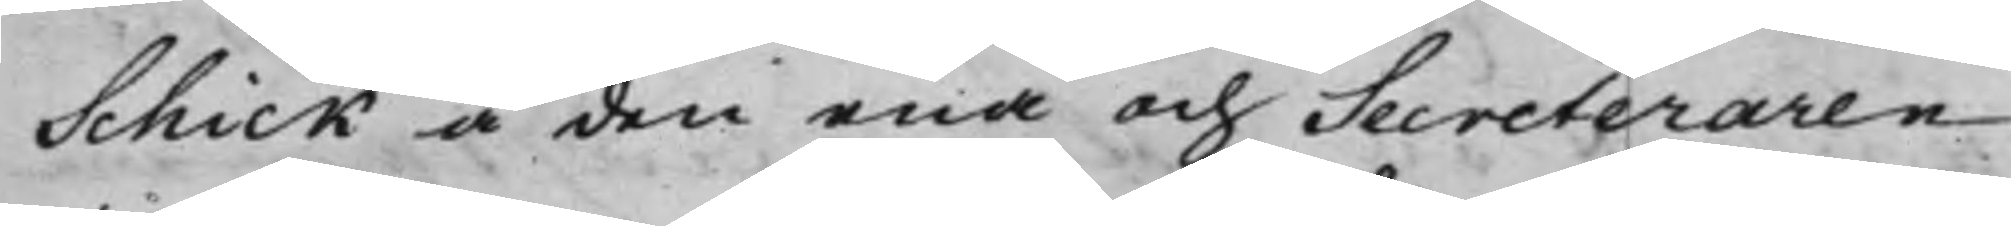Schick å den ena och Secreteraren
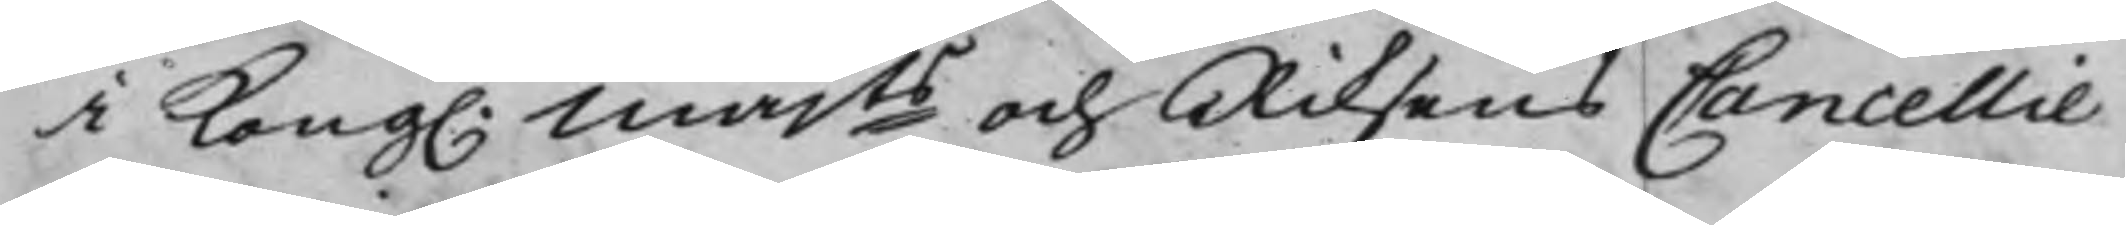i Kong. Majts och Riksens Cancellie¬
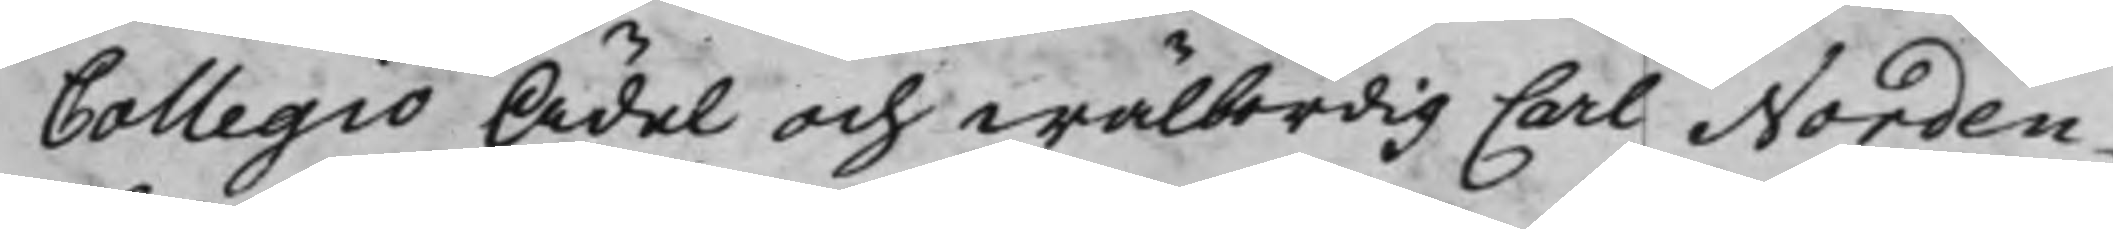Collegio Ädel och wälbördig Carl Norden¬
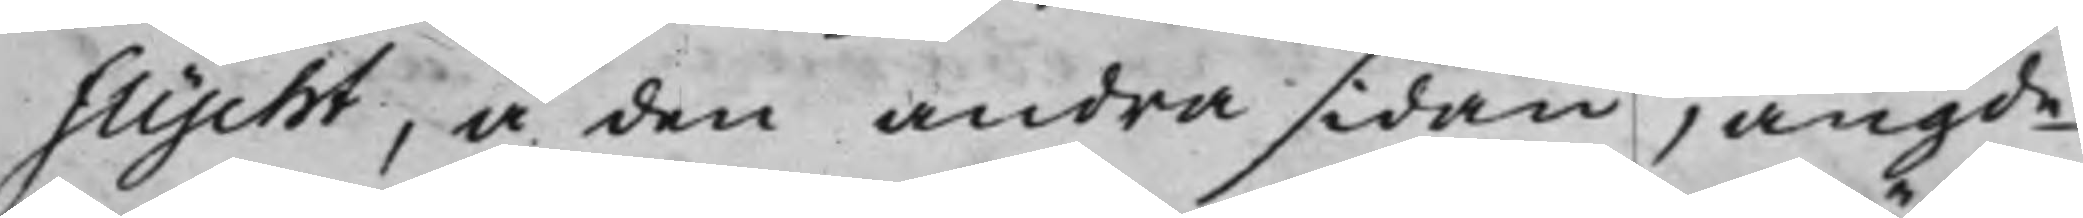flycht, å den andra sidan, angde
